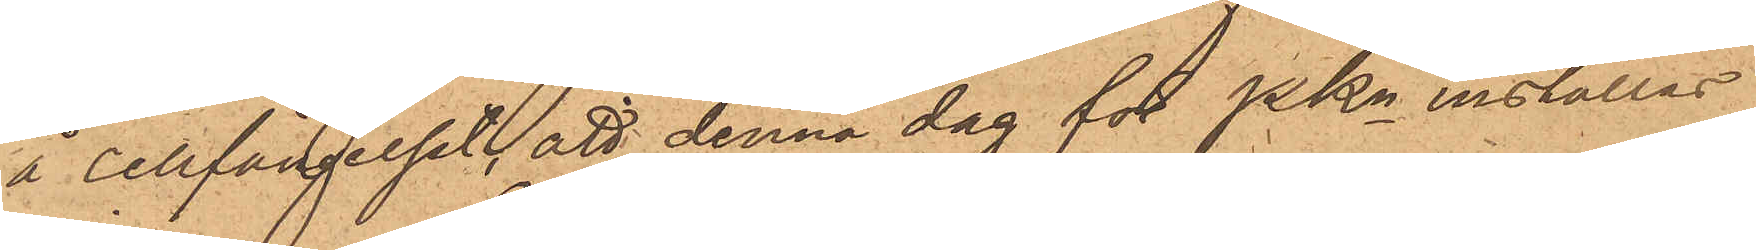å cellfängelset, att denna dag för PKn inställas.
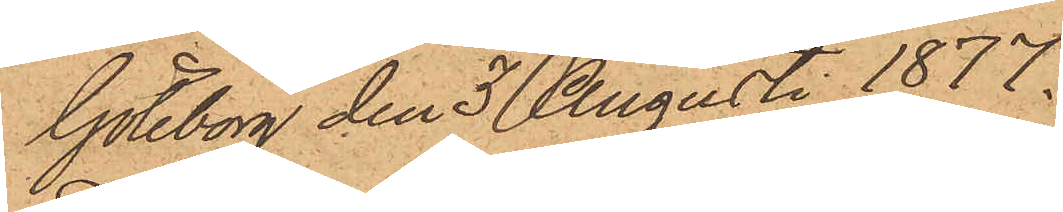Göteborg den 3 Augusti 1877.
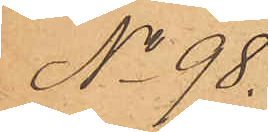No 98.
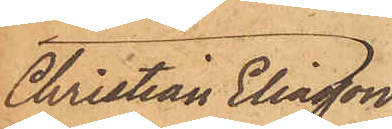Christian Eliasson
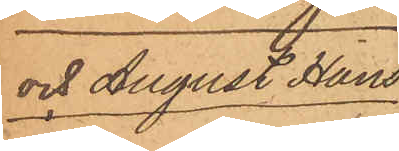och August Hans¬
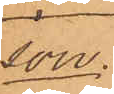son.
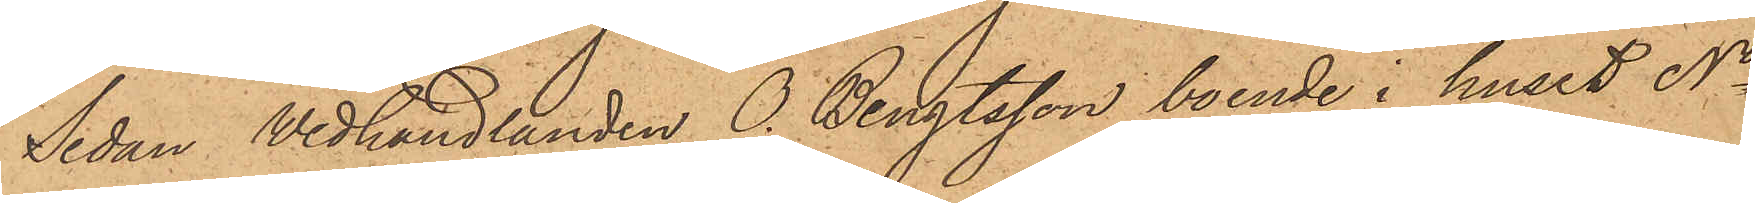Sedan Wedhandlanden O. Bengtsson, boende i huset No
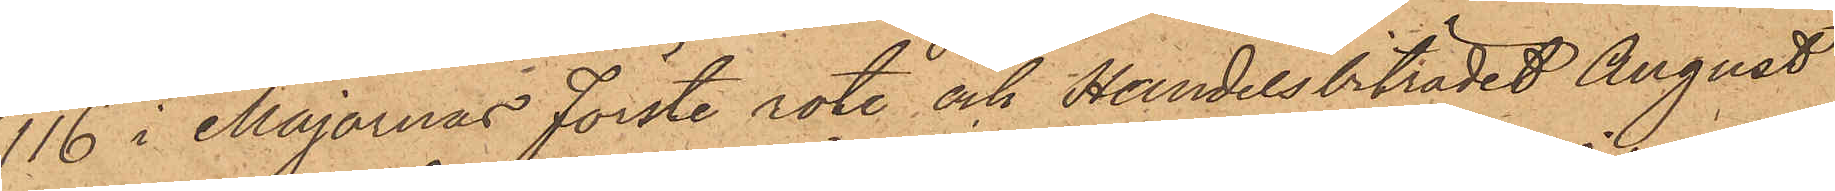116 i Majornas Förste rote och Handelsbiträdet August
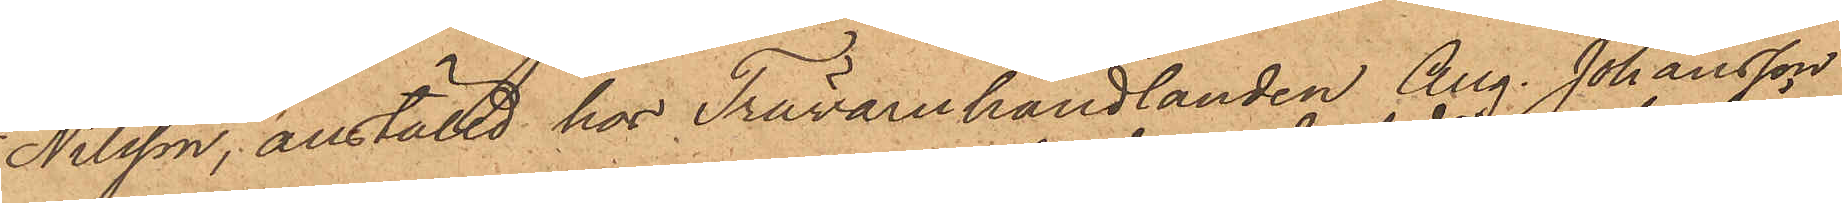Nilsson, anställd hos Trävaruhandlanden Aug. Johansson
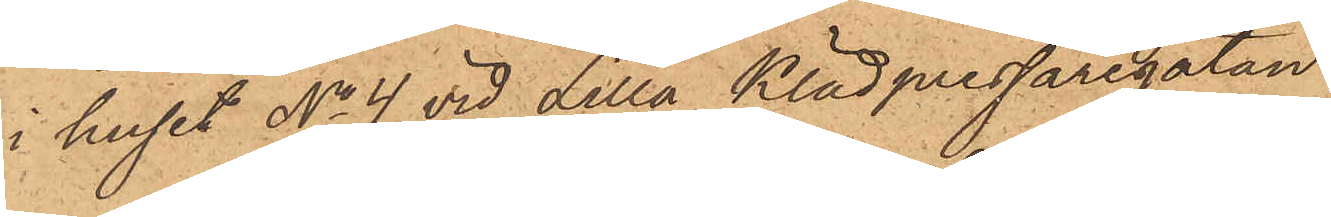i huset No 4 vid Lilla Klädpressaregatan
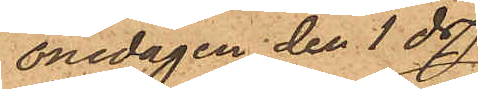onsdagen den 1 ds
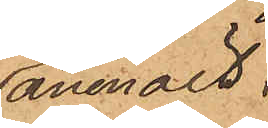anmält:
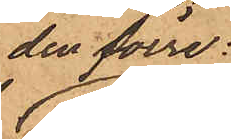den förre
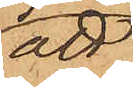att
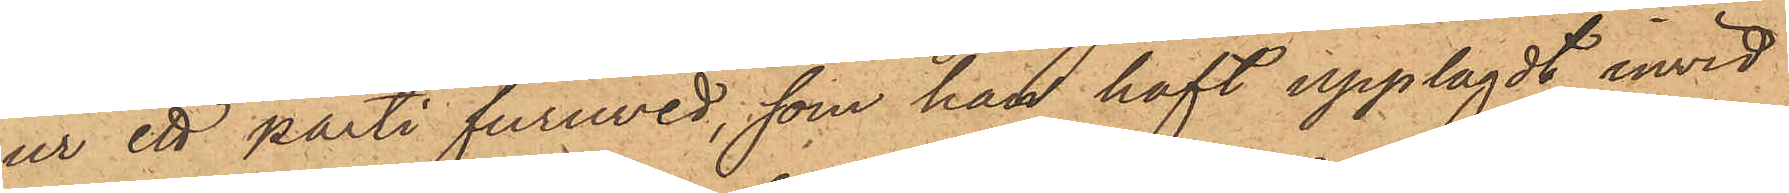ur ett parti furuved, som han haft upplagdt invid
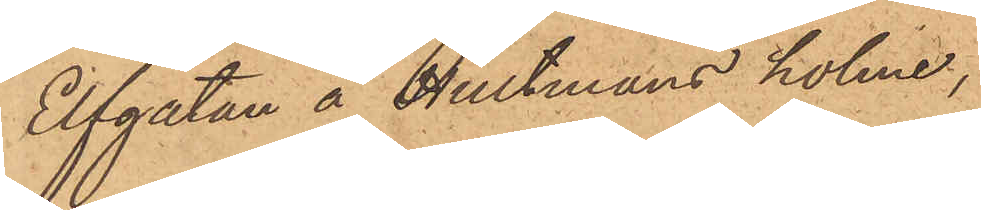Elfgatan å Hultmans holme,
